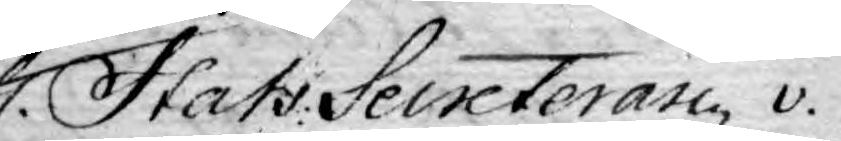H. Stats Secreteran v.
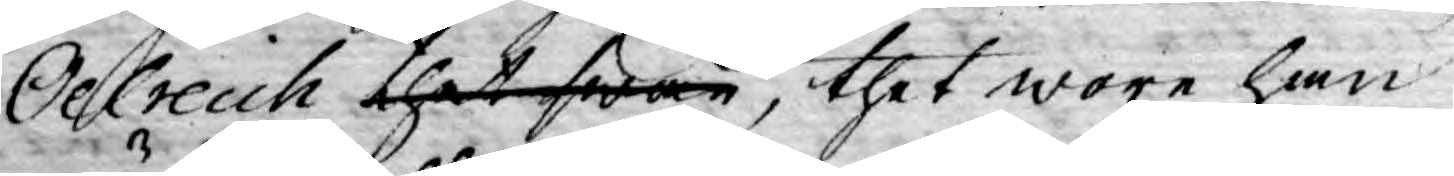Oelreich thet swar, thet wore han
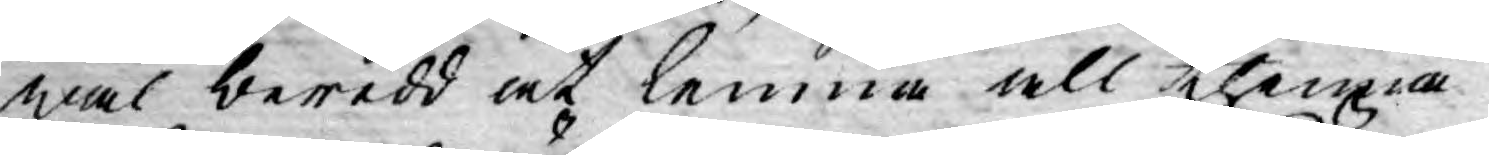wäl beredd at lemna all thenna
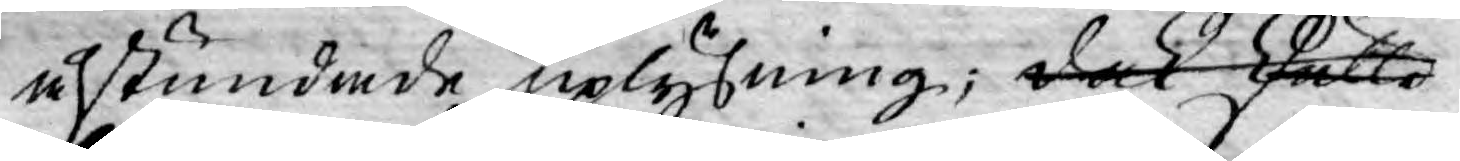åstundade uplysning; dock skulle
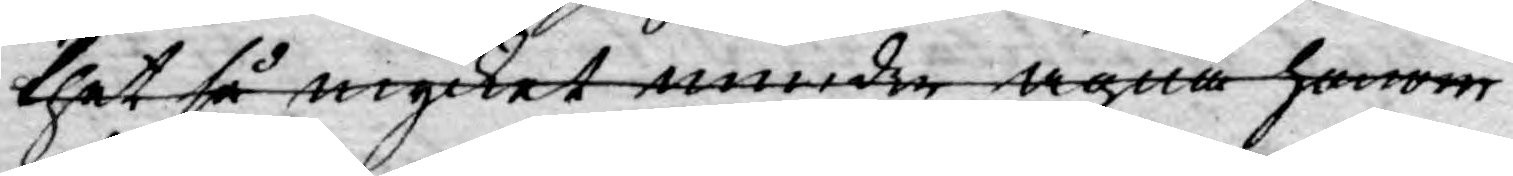thet så mycket mindre ägna honom
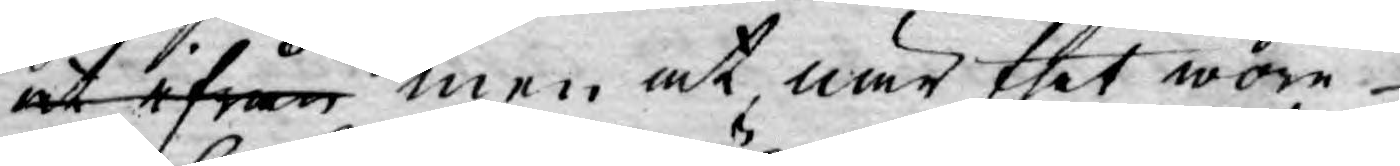at ifrån men at, när thet wore
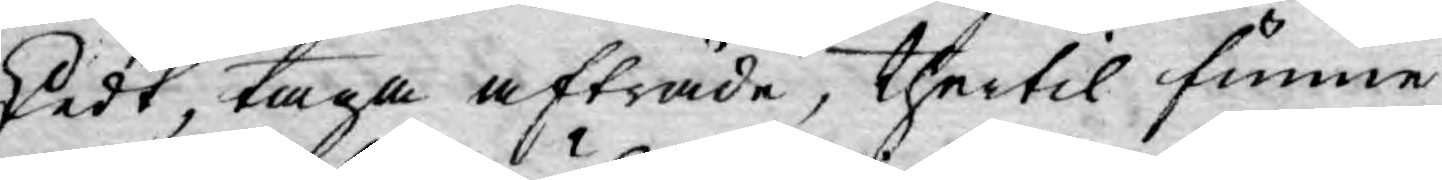skedt, taga afträde, thertil funne
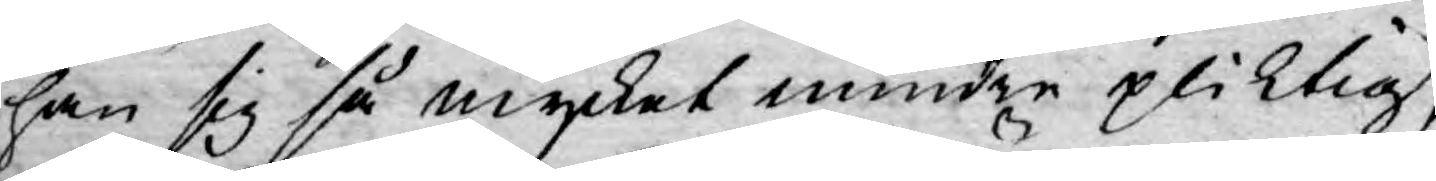han sig så mycket mindre pliktig,
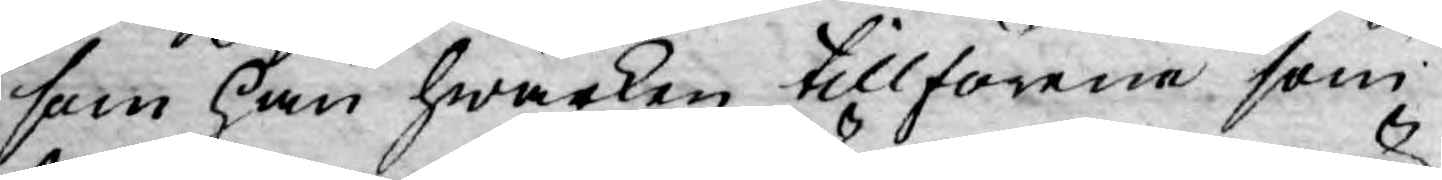som han hwarken tillförene som
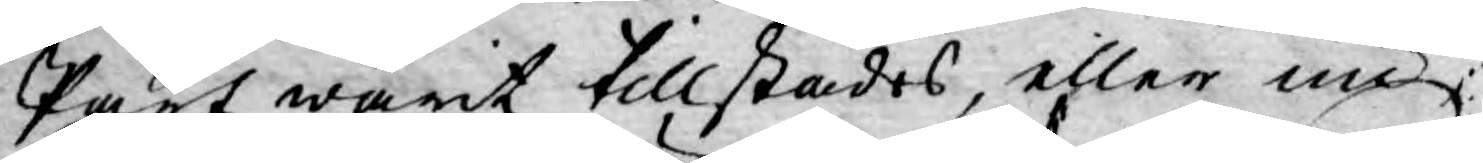Part warit tillstädes, eller nu
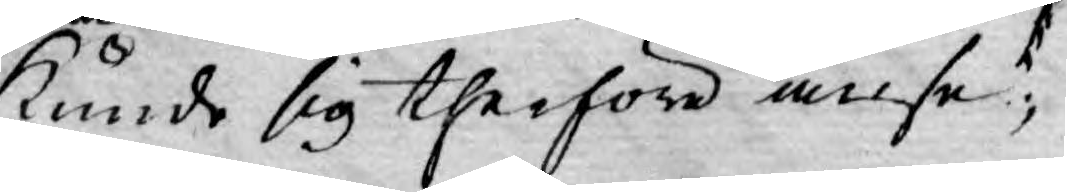kunde sig therföre anse,
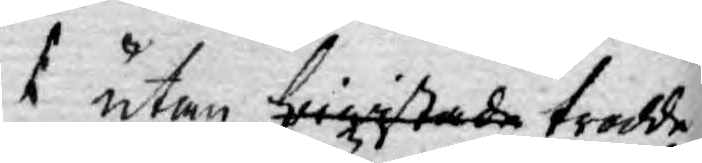utan bewistade trodde
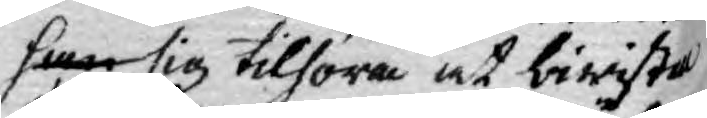han sig tilhöra at biwista
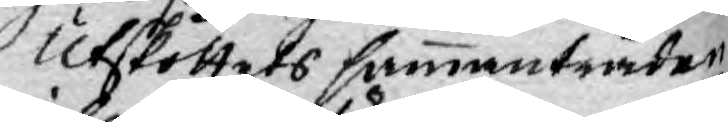Utskottets sammanträde
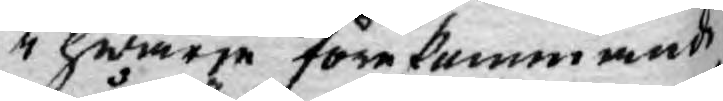i hwarje förekommande
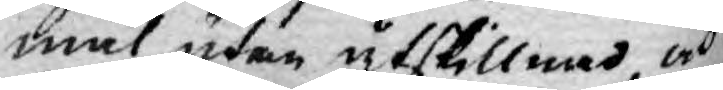mål utan åtskillnad och
